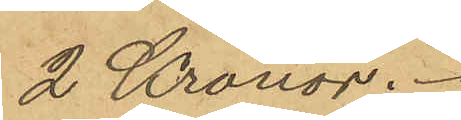2 Kronor.
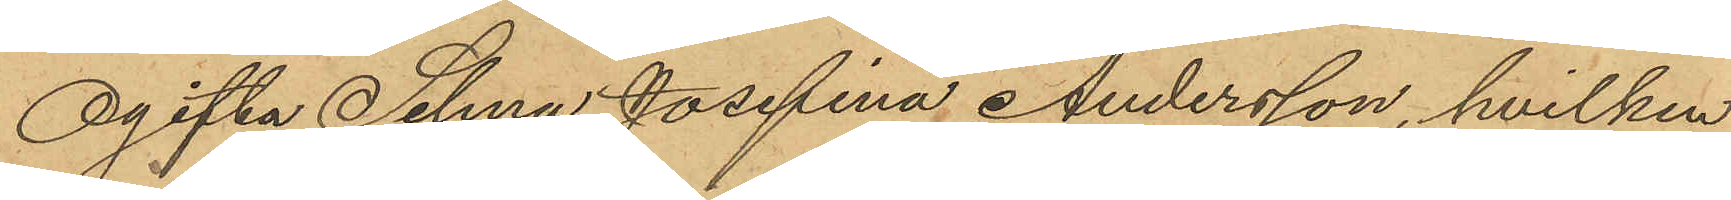Ogifta Selma Josefina Andersson, hvilken
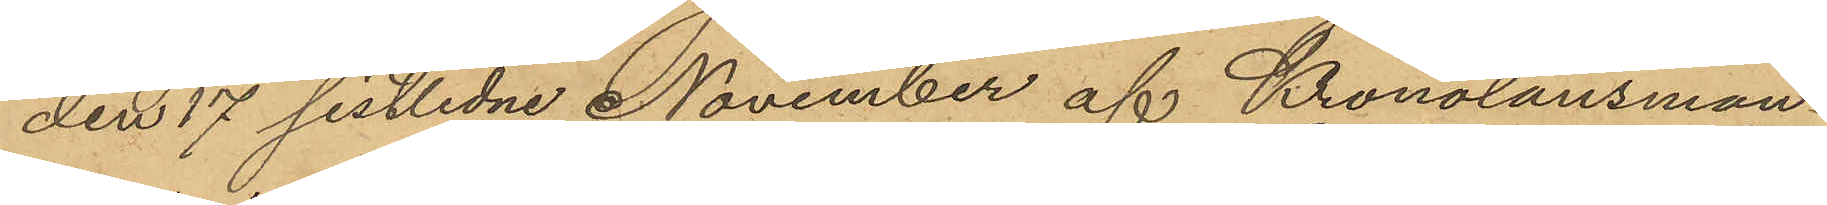den 17 sistlidne November af Kronolänsman¬
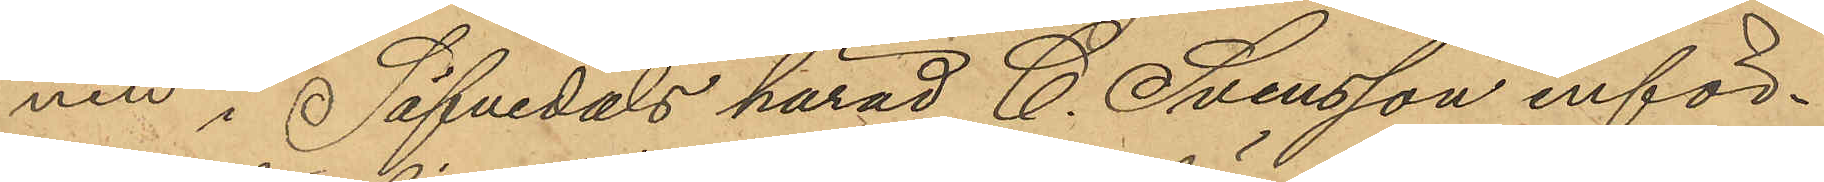nen i Säfvedals härad C. Svensson inför¬
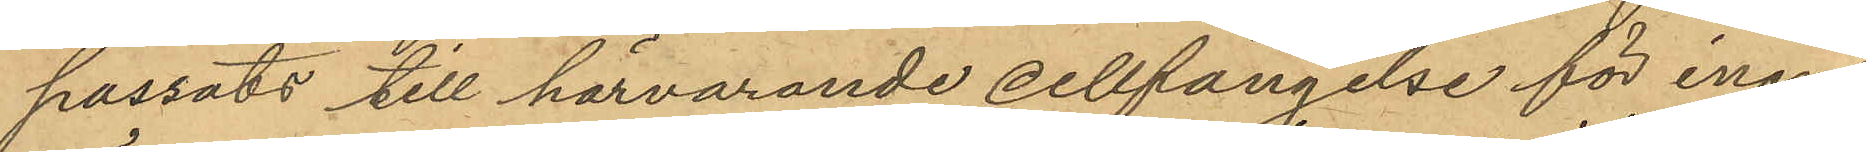passats till härvarande cellfängelse för inom
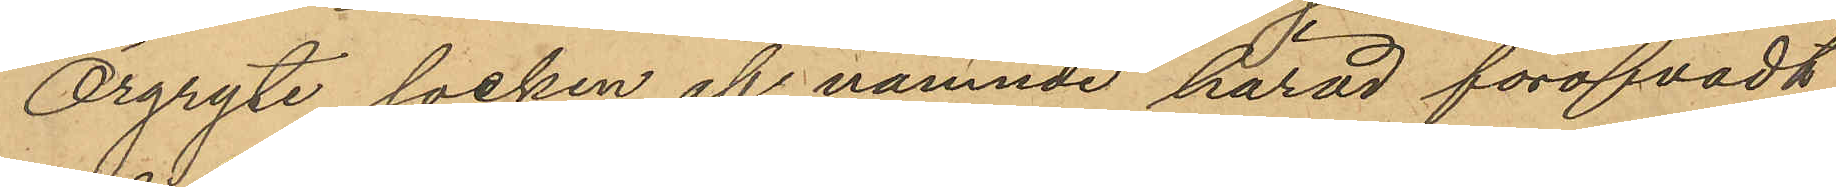Örgryte socken af nämnde härad föröfvadt
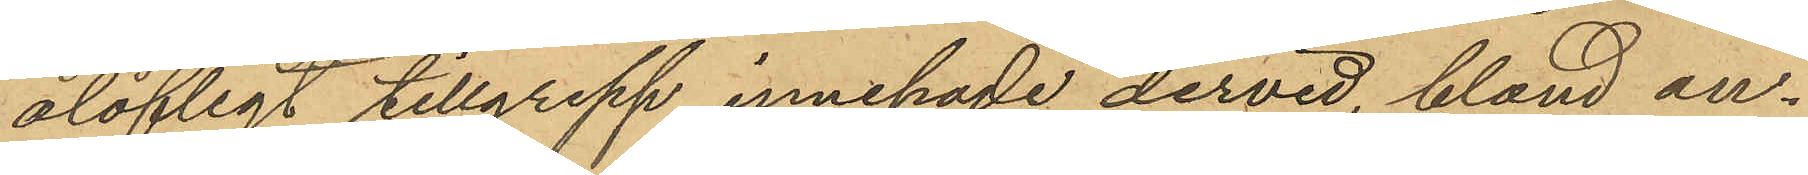olofligt tillgrepp innehade dervid, bland an¬
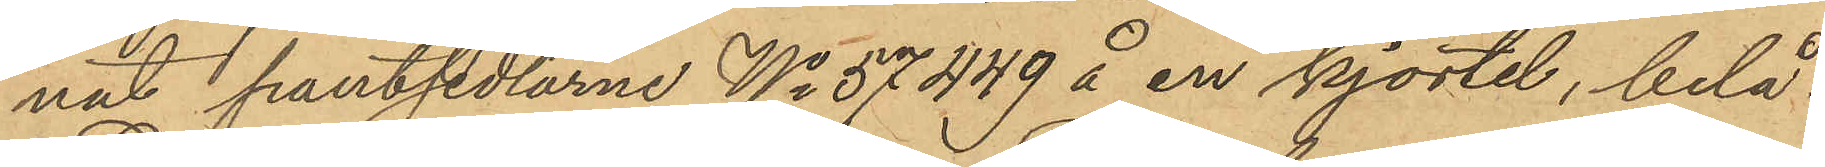nat pantsedlarne No 57449 å en kjortel, belå¬
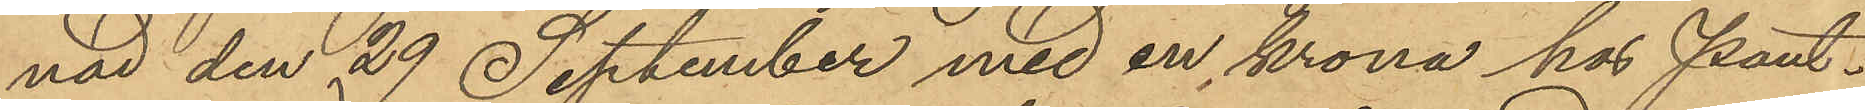nad den 29 September med en krona hos Pant¬
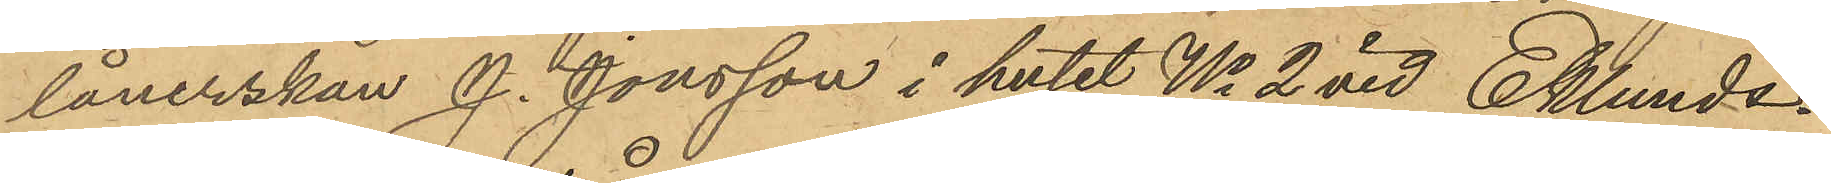lånerskan J. Jonsson i huset No 2 vid Eklunds¬
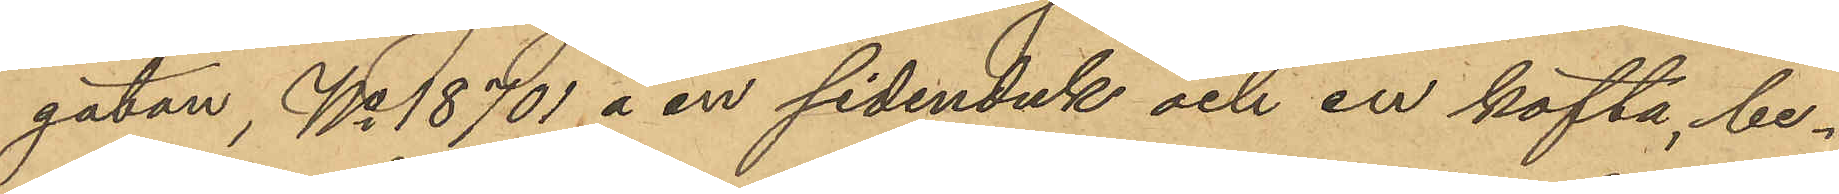gatan, No 18701 å en sidenduk och en kofta, be¬
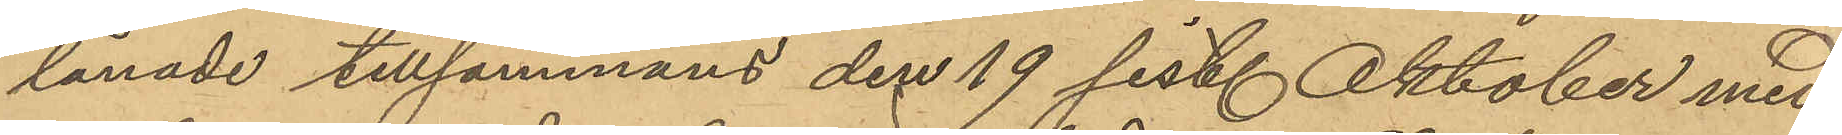lånade tillsammans den 19 sist. Oktober med
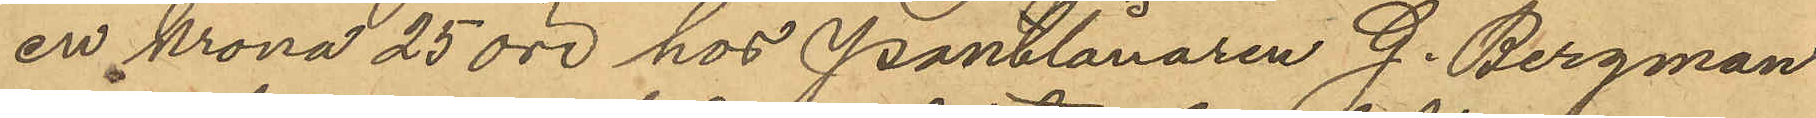en krona 25 öre hos Pantlånaren G. Bergman
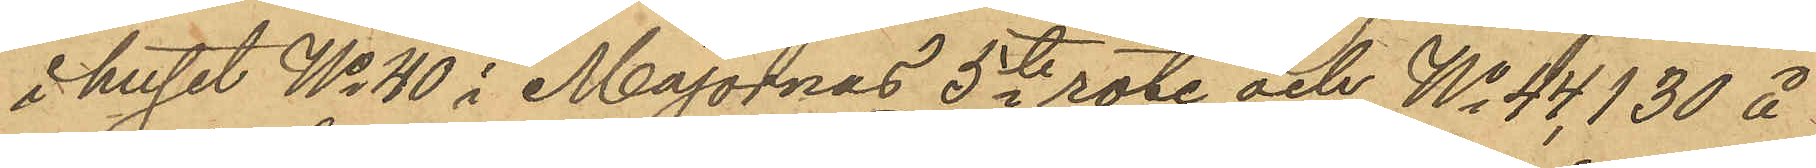i huset No 40 i Majornas 5te rote, och No 44,130 å
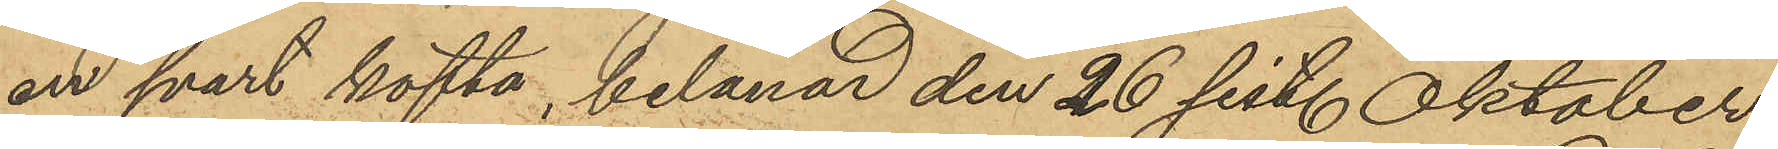en svart kofta, belånad den 26 sist. Oktober
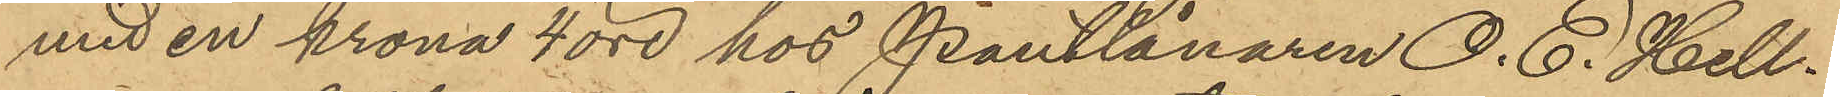med en krona 4 öre hos Pantlånaren O. E. Hell¬
